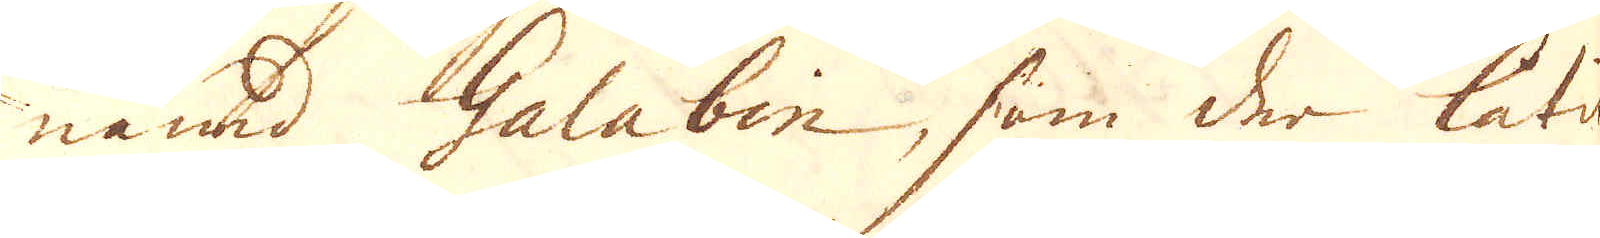nämd Galabin, som der låtit
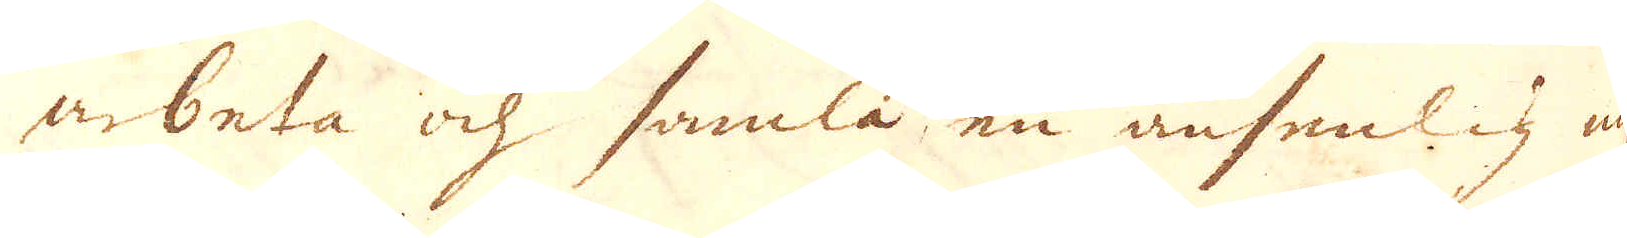arbeta och samla en ansenlig my-
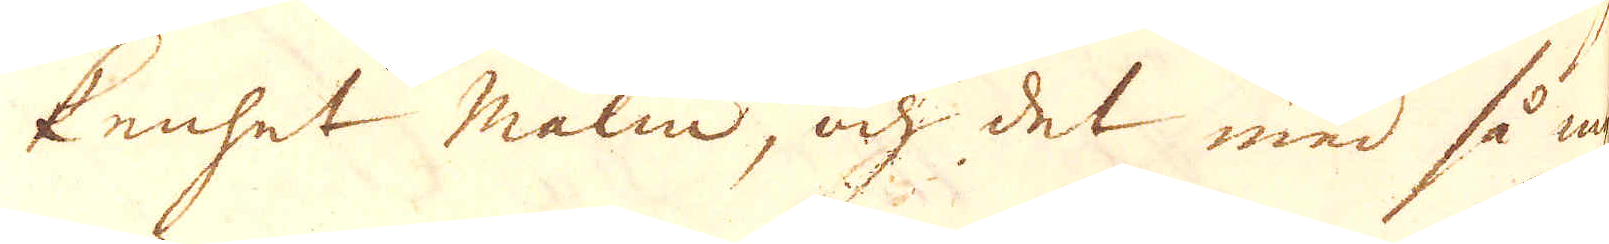kenhet malm, och det med my-
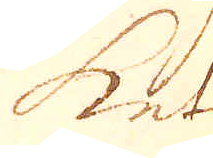ket
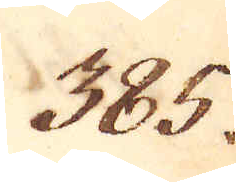385.
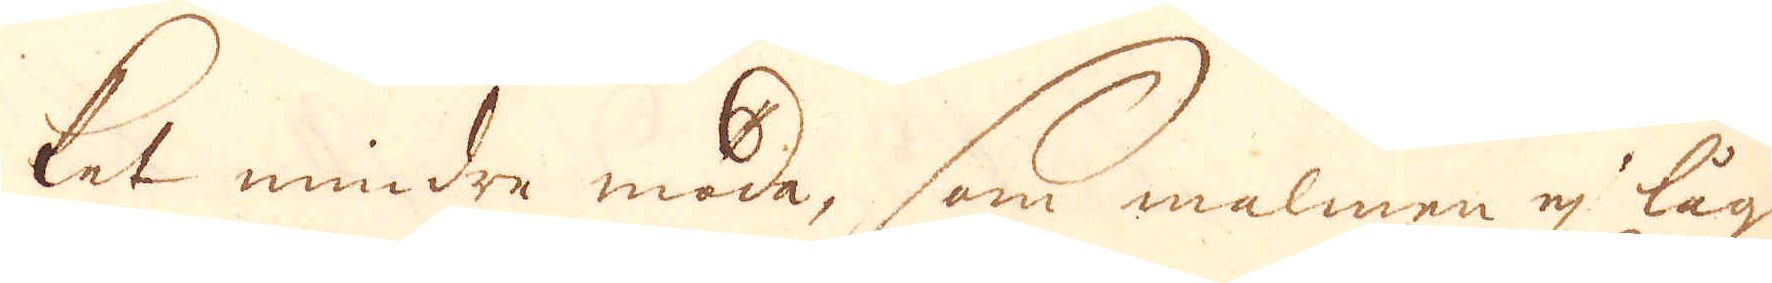ket mindre möda, som malmen ej låg
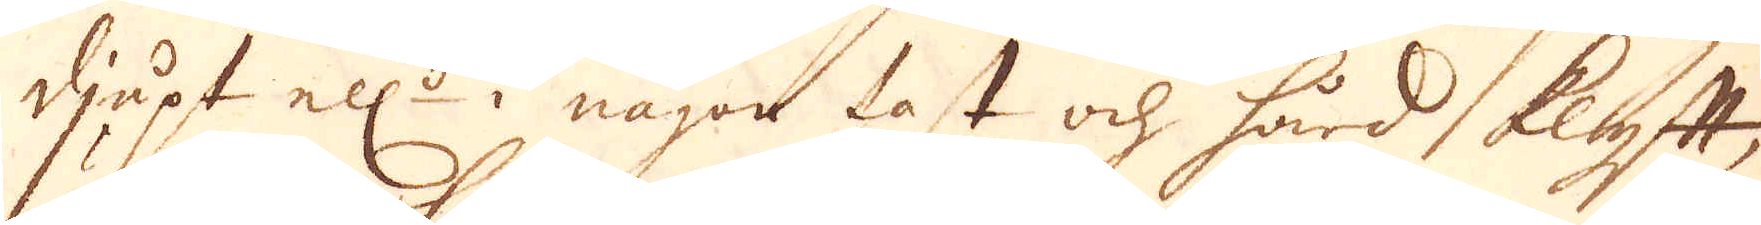djupt ell:r i något fast och hård klyftt,
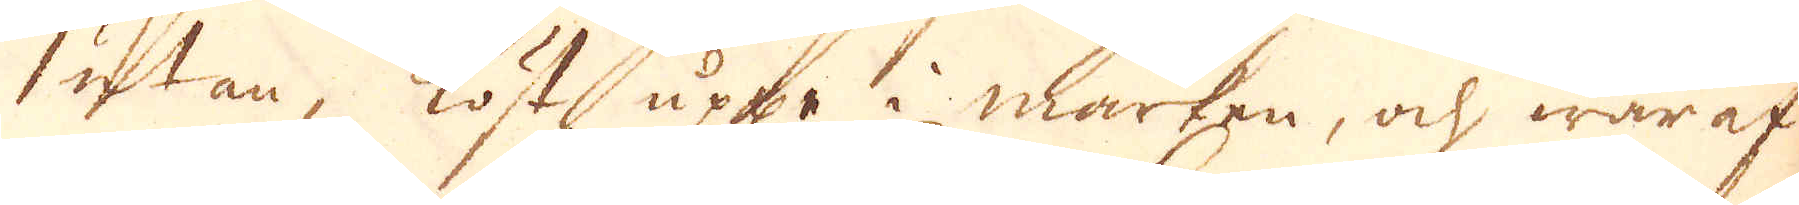utan, löst uppe i marken, och waraf
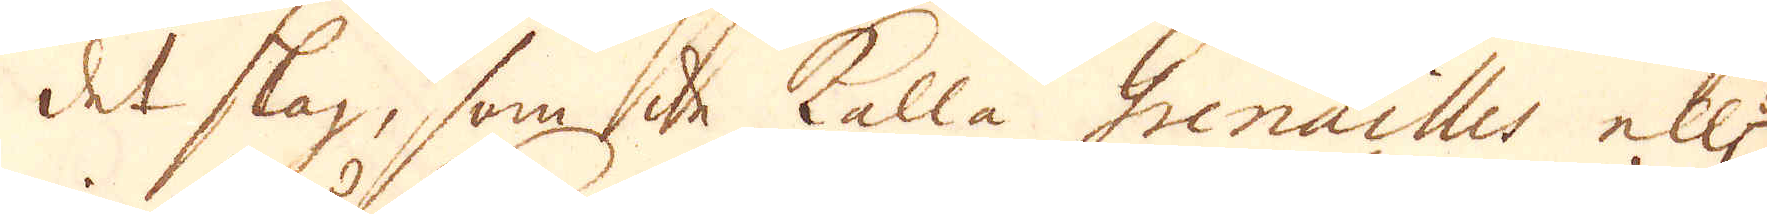det slag, som de kalla Grenailles ell:r
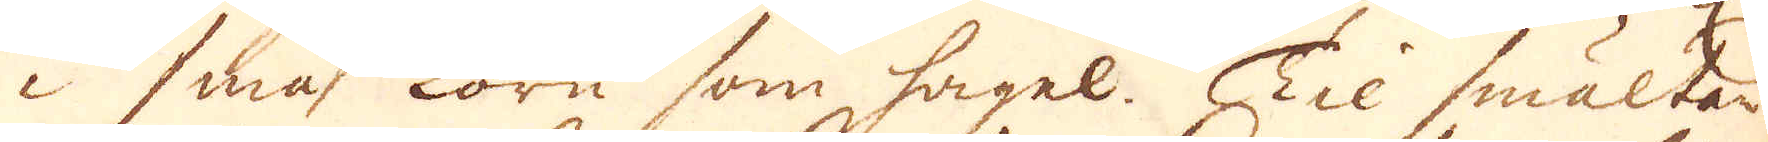i små korn som hagel. Til smältan-
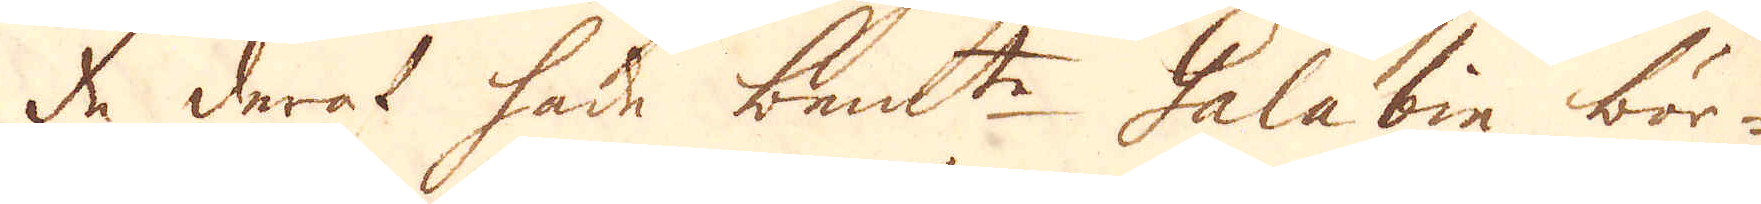de deraf hade bem:te Galabin bör-
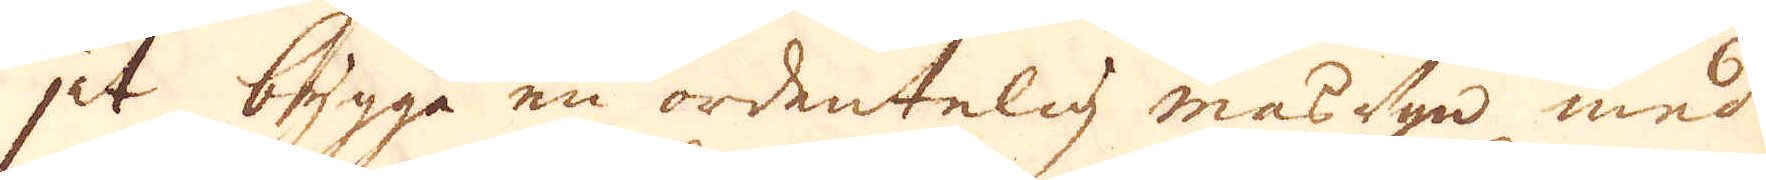jat bygga en ordentelig masugn med
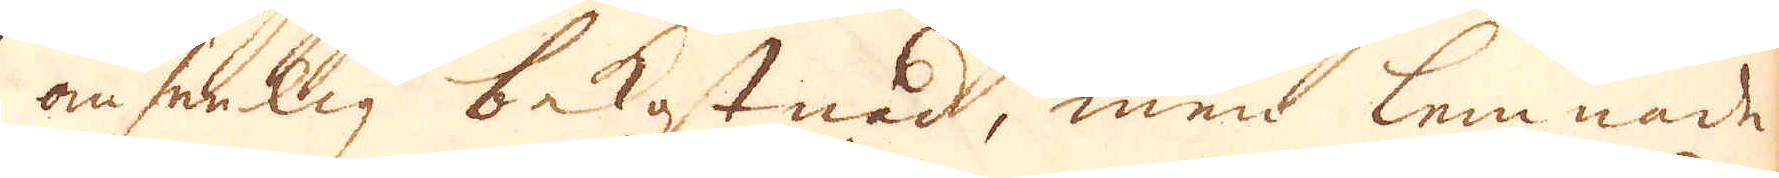ansenlig bekostnad, men lemnade
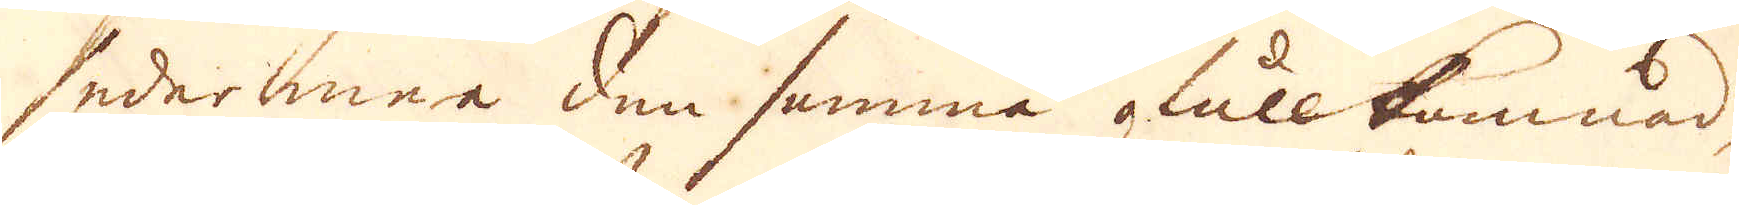sedermera den samma ofullkomnad,
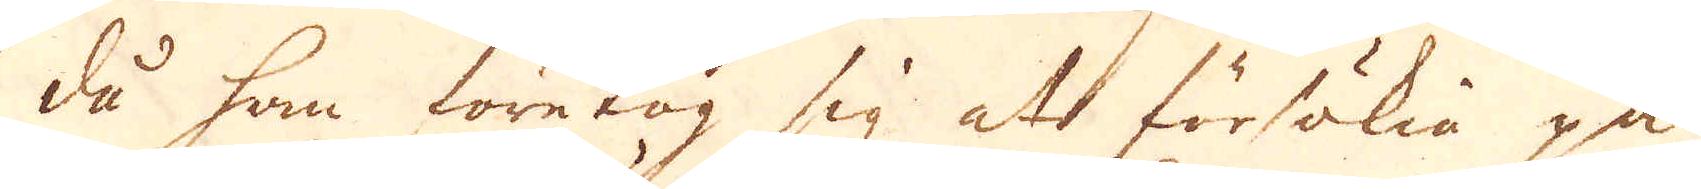då han företog sig at försökia på
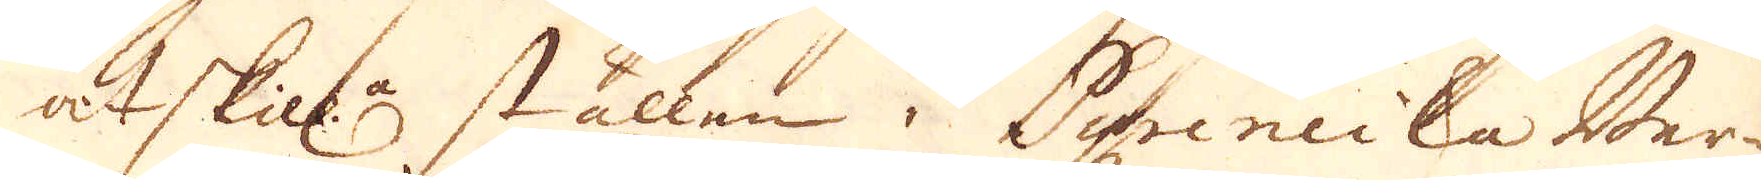åtskill:a ställen i Pyreneiska Ber-
